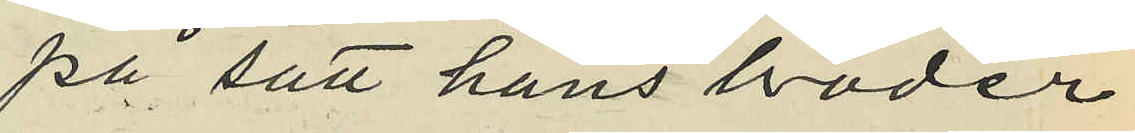på sätt hans broder
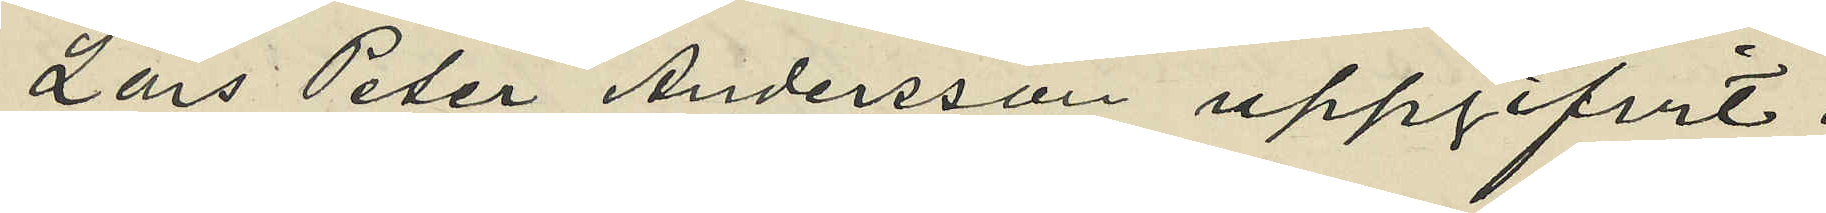Lars Peter Andersson uppgifvit:
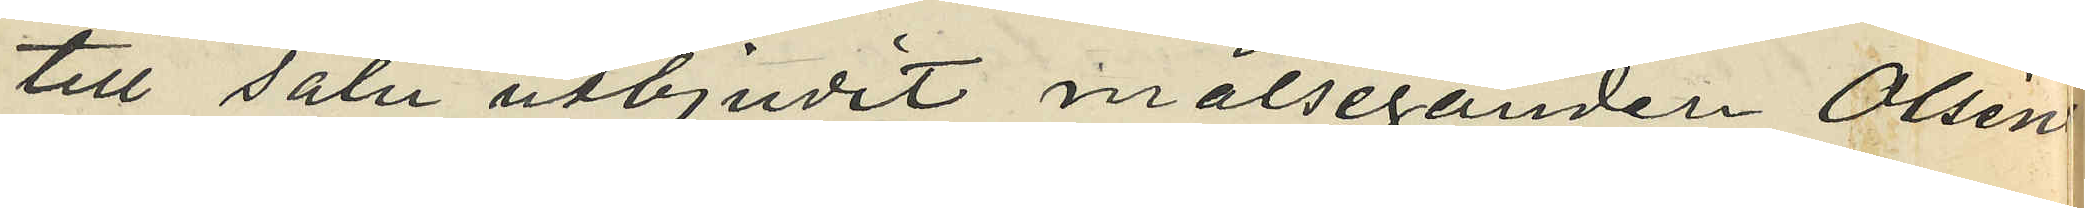till salu utbjudit målseganden Olsens
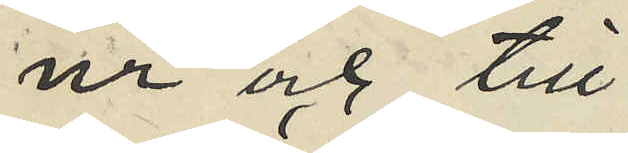ur och till
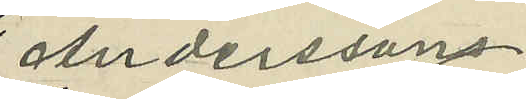Anderssons
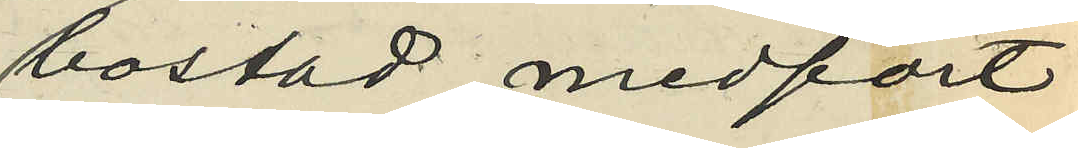bostad medfört
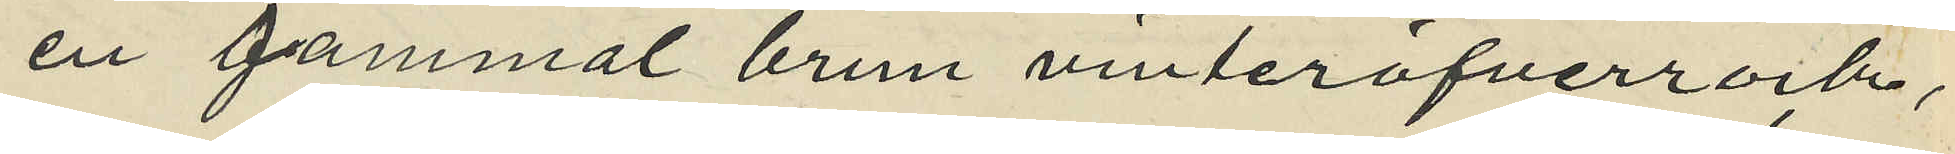en gammal brun vinteröfverrock,
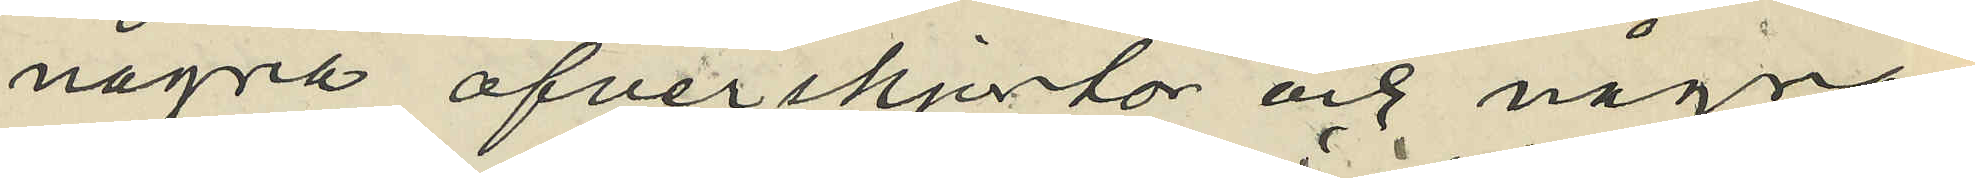några öfverskjortor och några
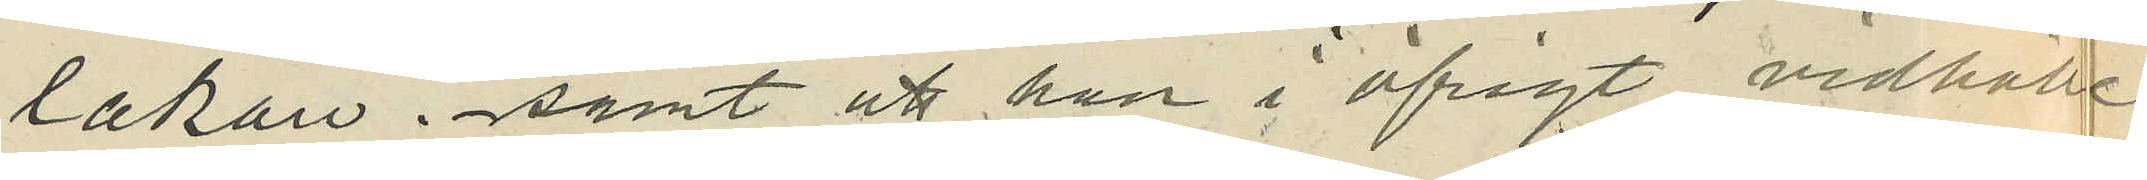lakan; samt att han i öfrigt vidhålle
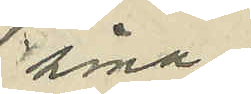sina
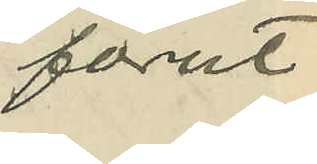förut
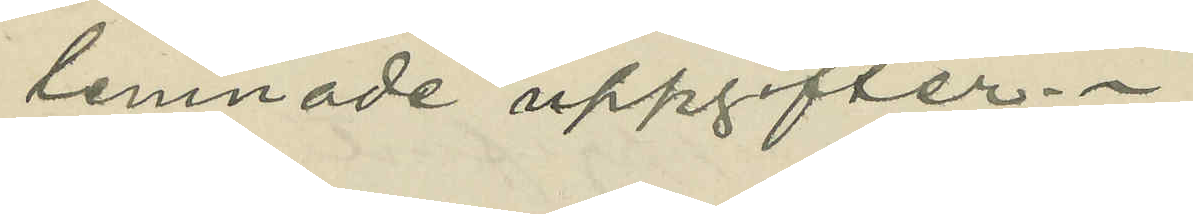lemnade uppgifter.
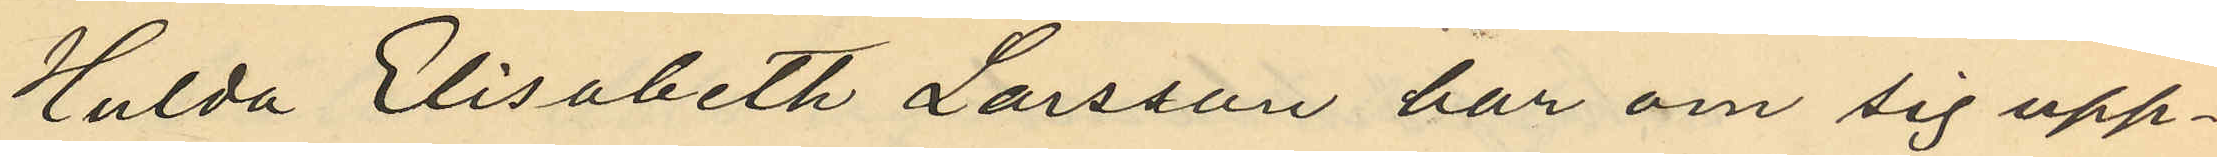Hulda Elisabeth Larsson har om sig upp¬
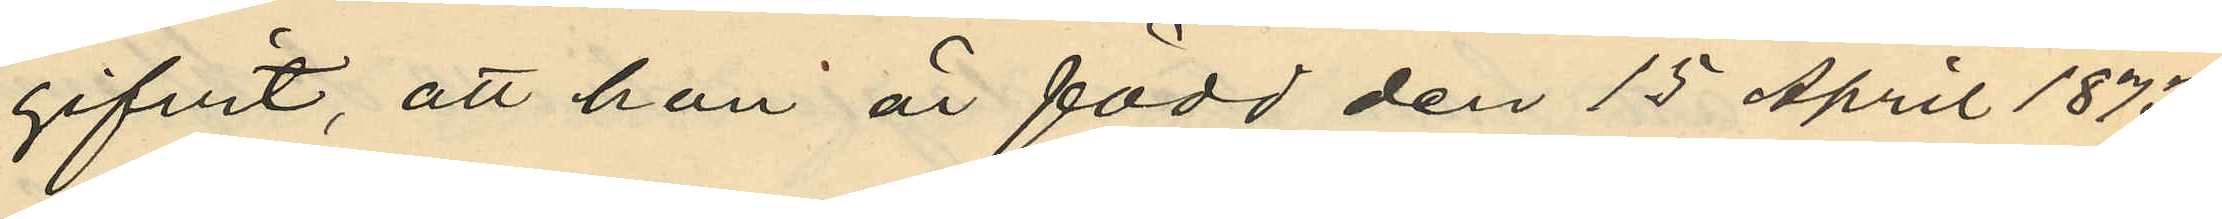gifvit, att hon är född den 15 April 1873
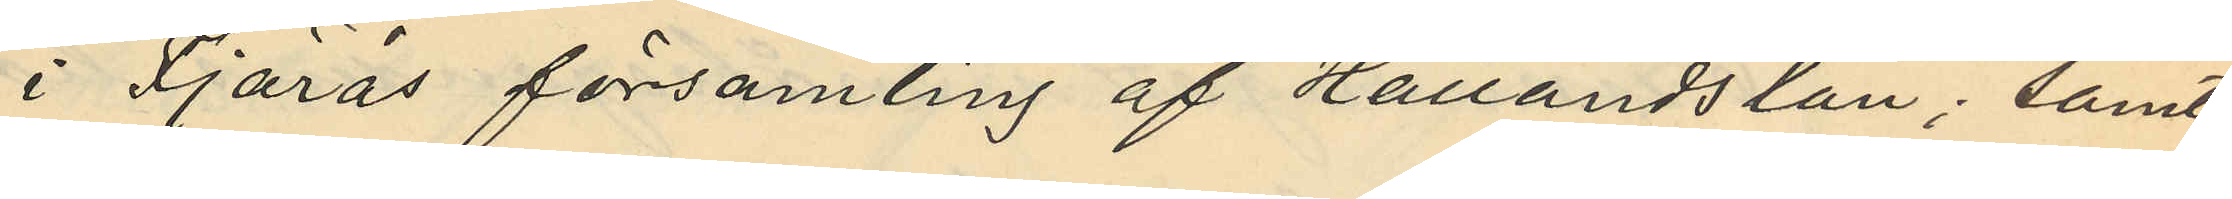i Fjärås församling af Hallands län; samt
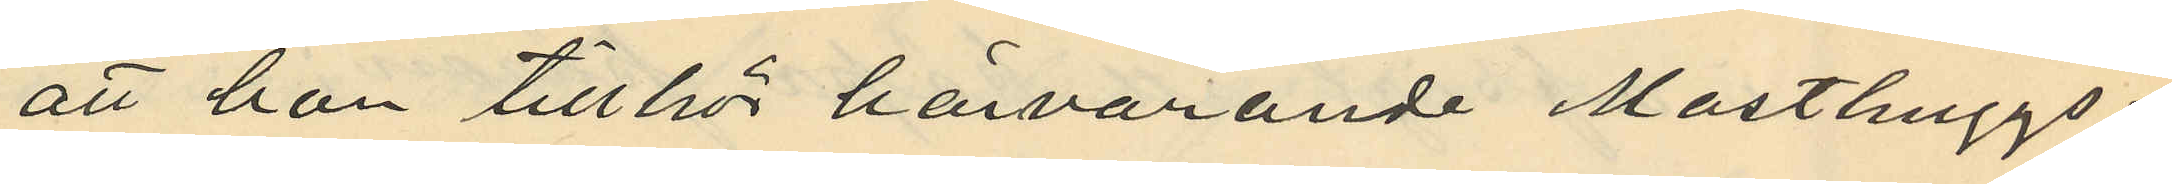att hon tillhör härvarande Masthuggs¬
